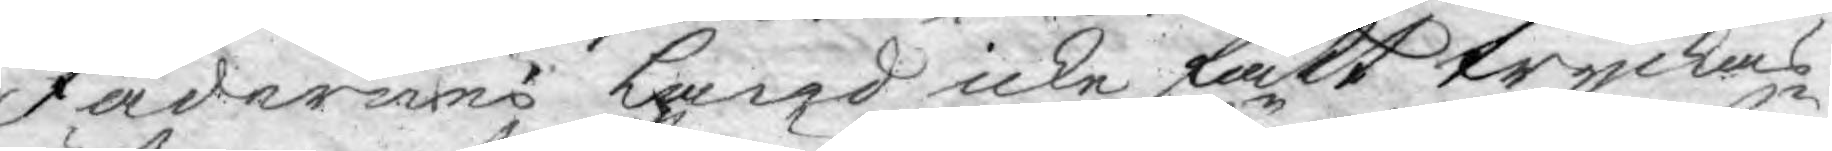Fädernes land icke fått tryckas
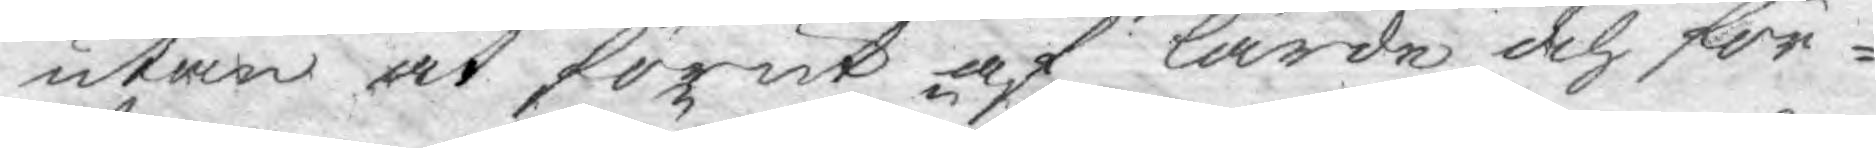utan at förut af lärde och för¬
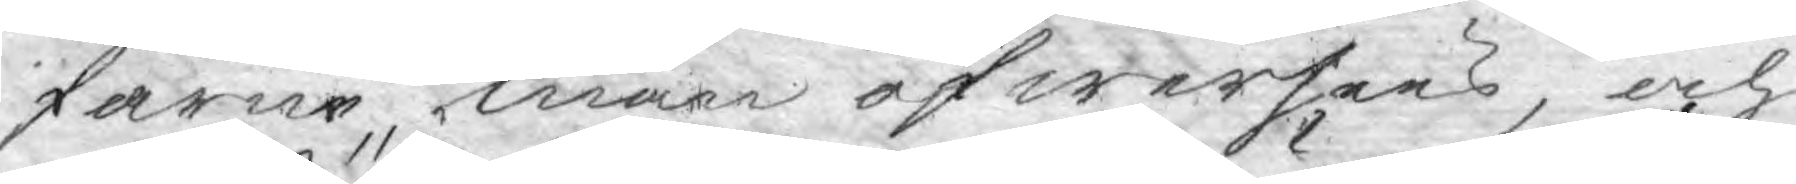farne män öfwersees, och
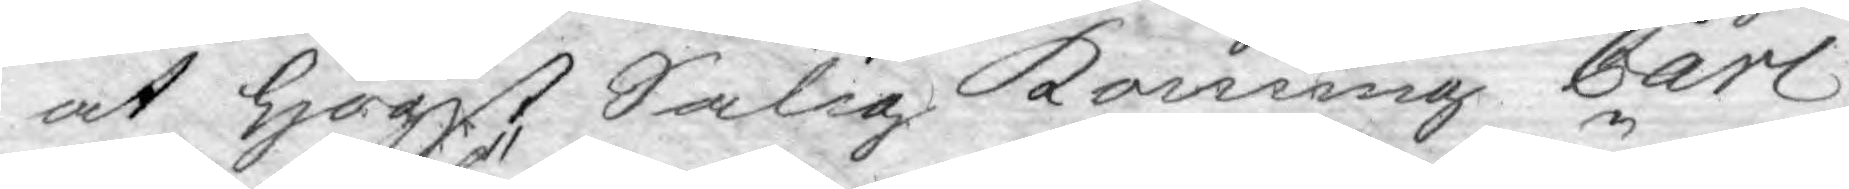at högst Salig Konung Carl
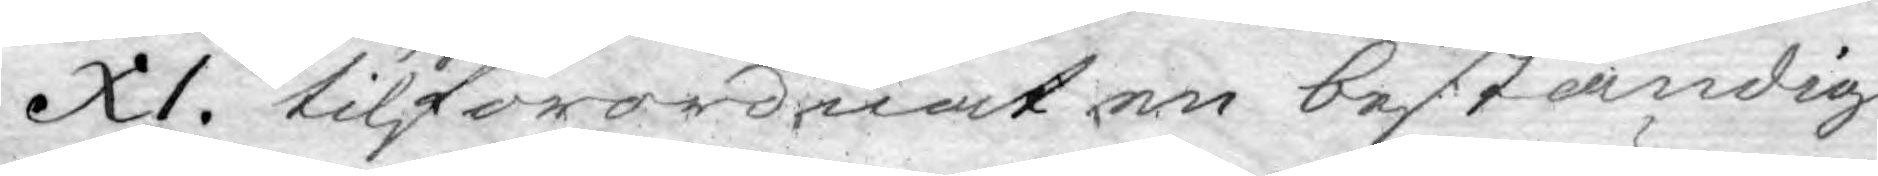XI. tilförordnat en beständig
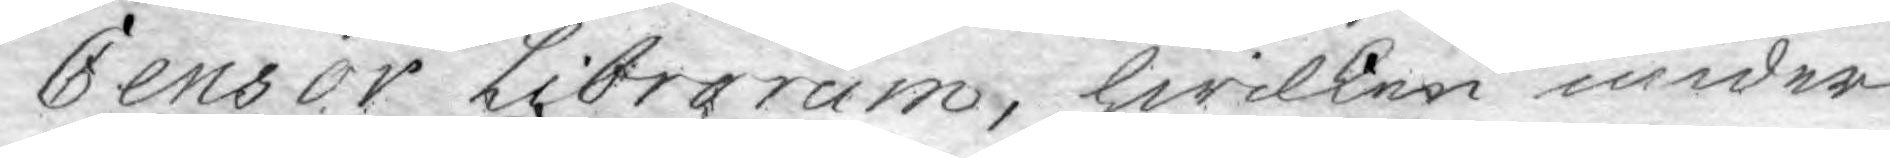Censor Librorum, hwilken under
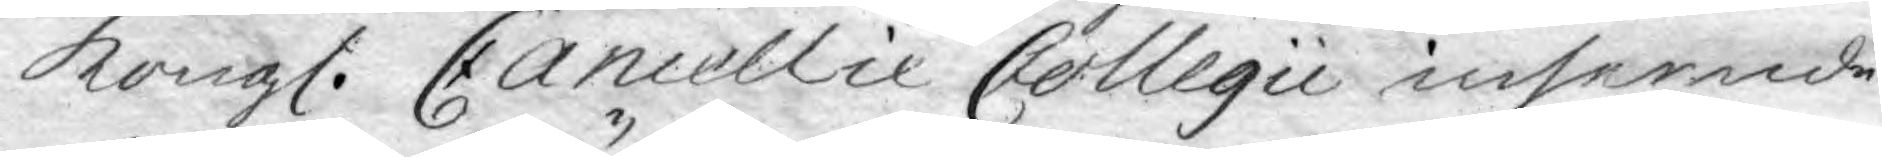Kongl. Cancellie Collegii inseende
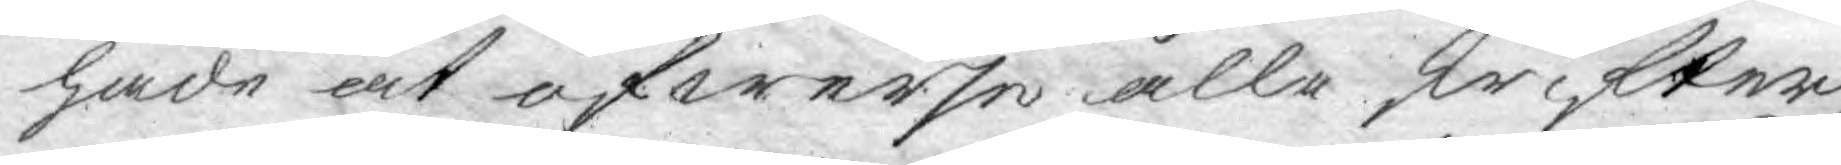hade at öfwerse alla skrifter
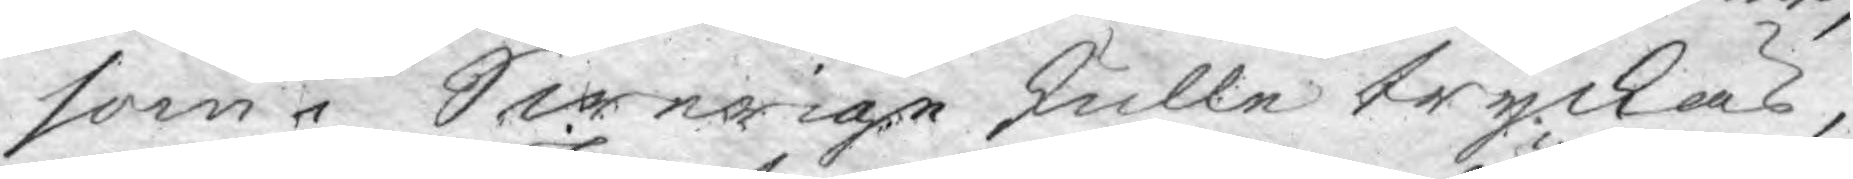som i Swerige skulle tryckas,
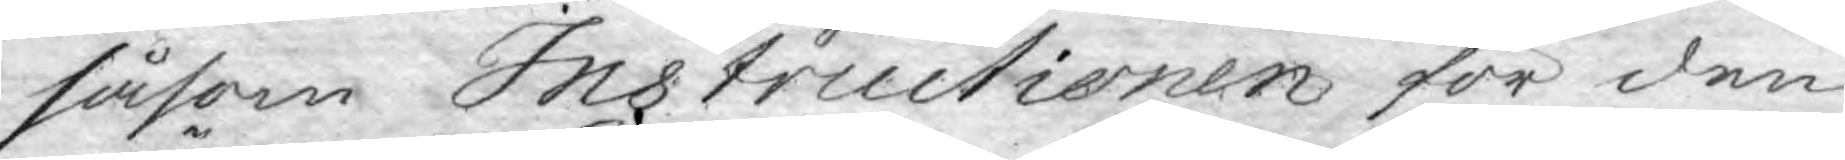såsom Instructionen för den
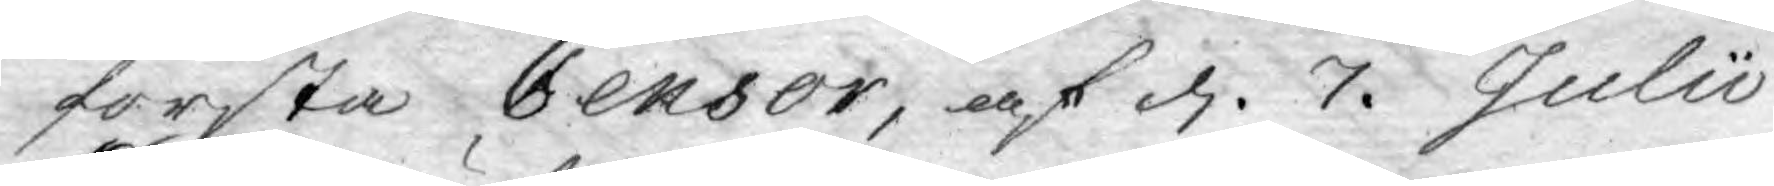första Censor, af d. 7. Julii
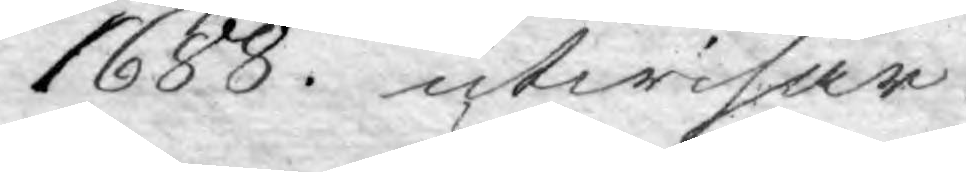1688. utwisar.
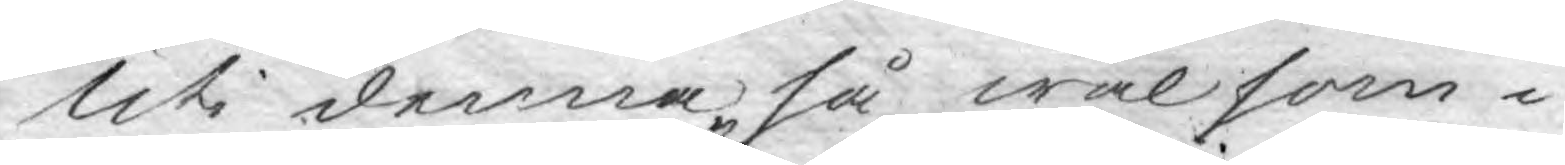Uti denna så wäl som i
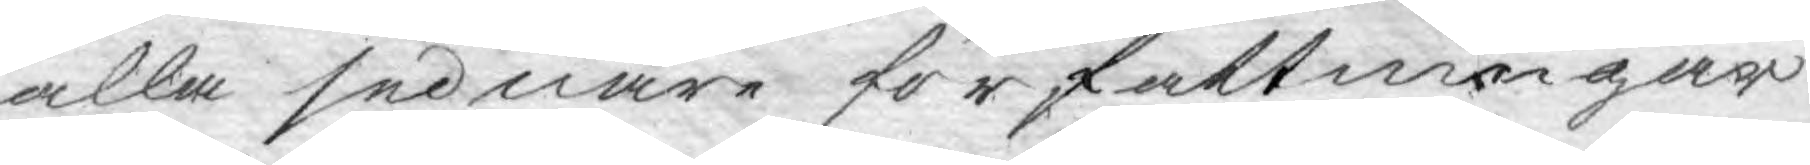alla sednare författningar
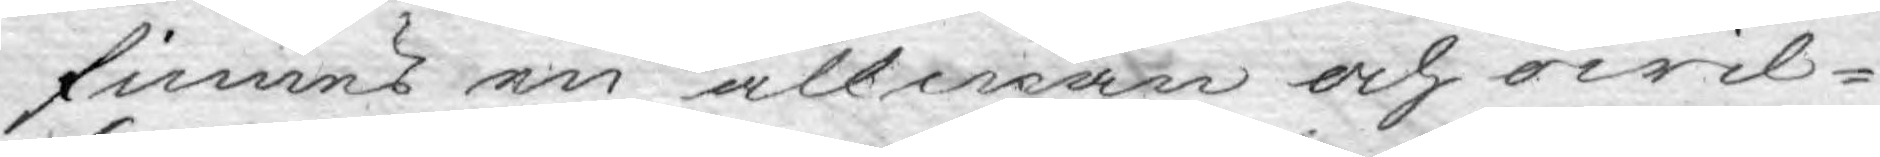finnes en allmän och owil¬
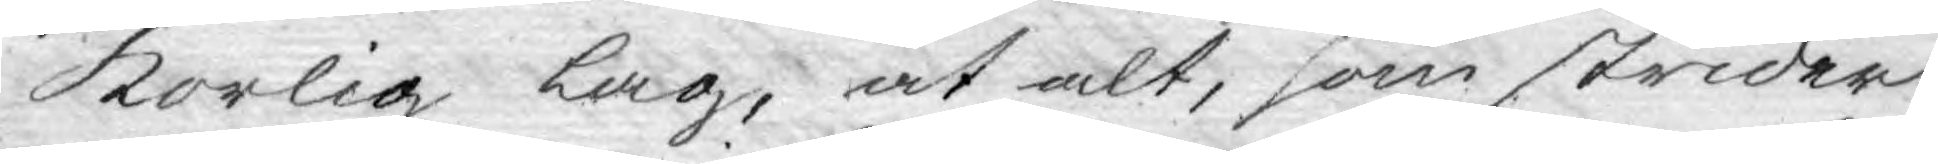korlig lag, at alt, som strider
